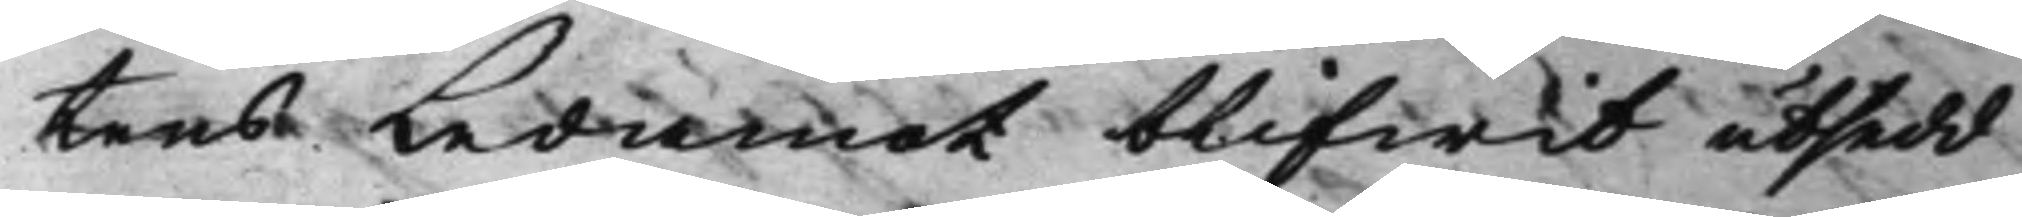tens Ledamot blifwit utsedd,
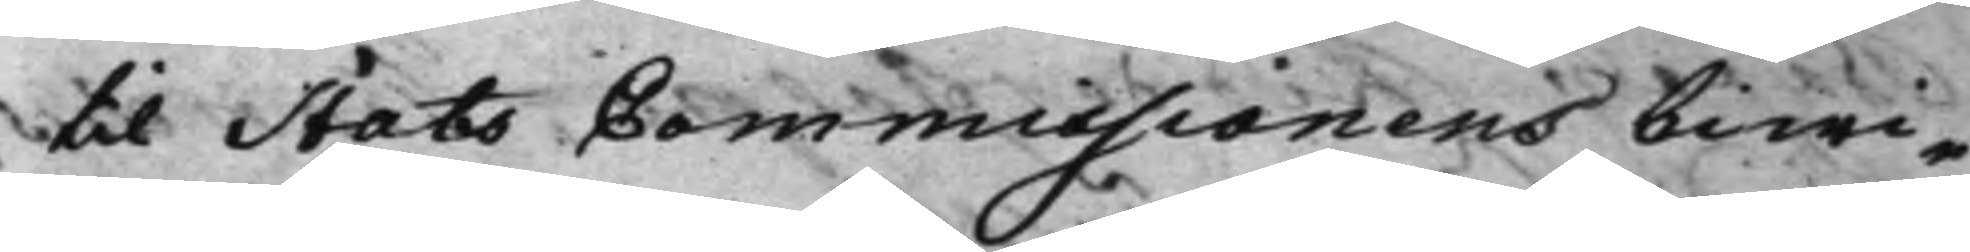til Stats Commissionens biwi¬
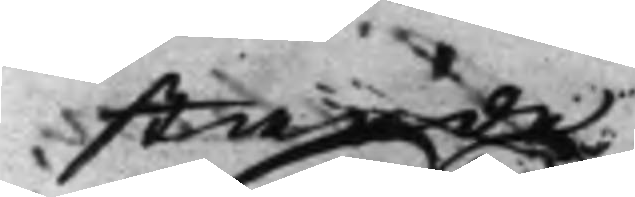stande.
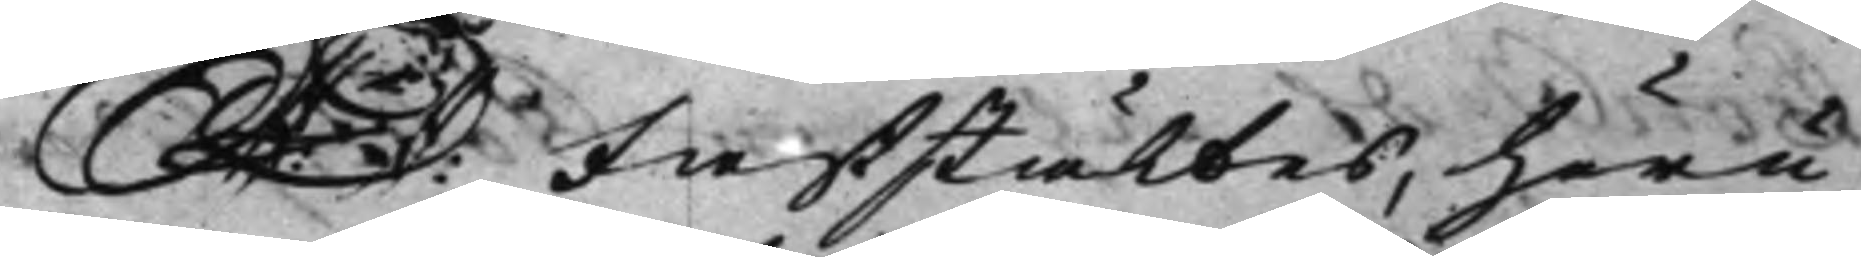S: D: Faststältes, huru 
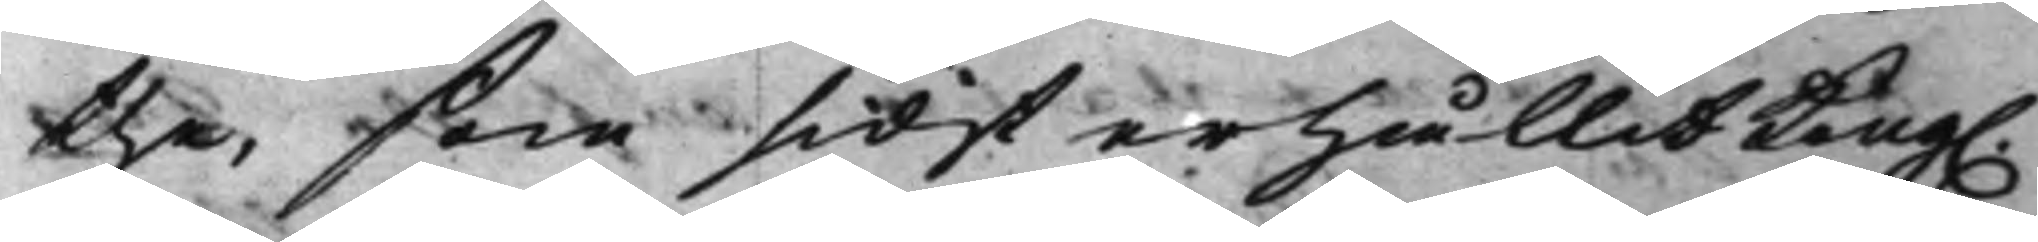the, som sidst erhållit Kong. 
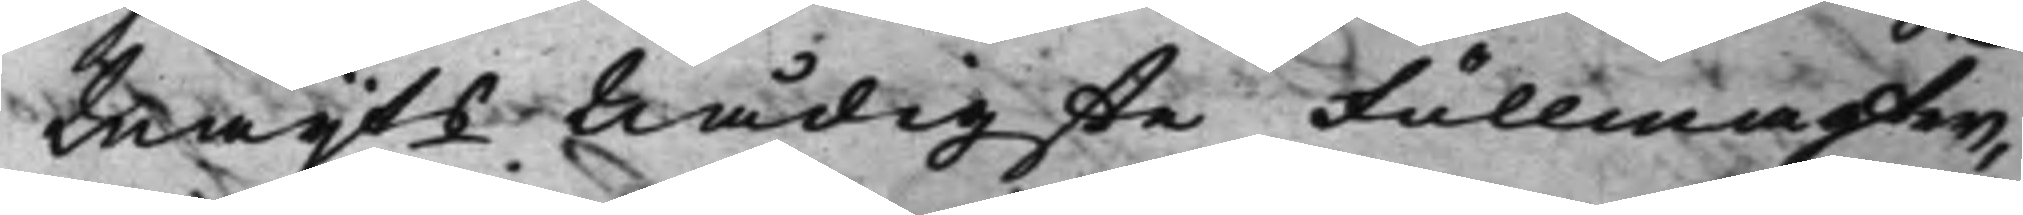Maijts Nådigste Fullmagter, 
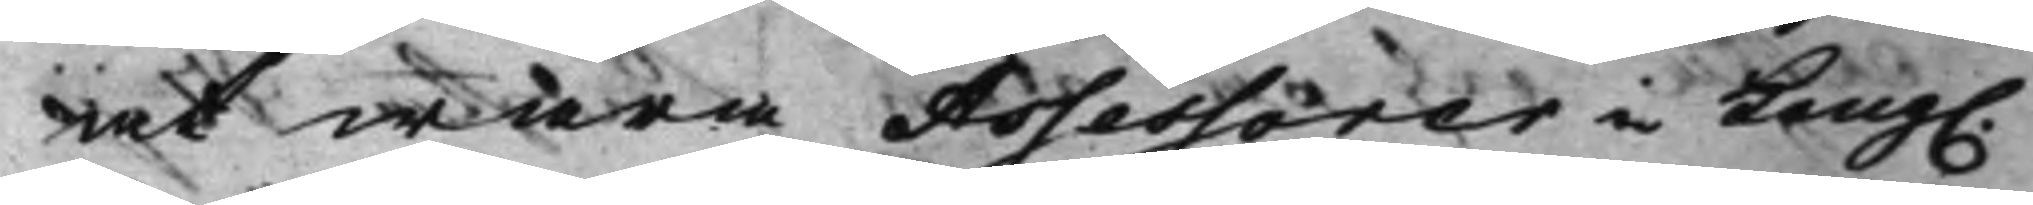at wara Assessorer i Kong. 
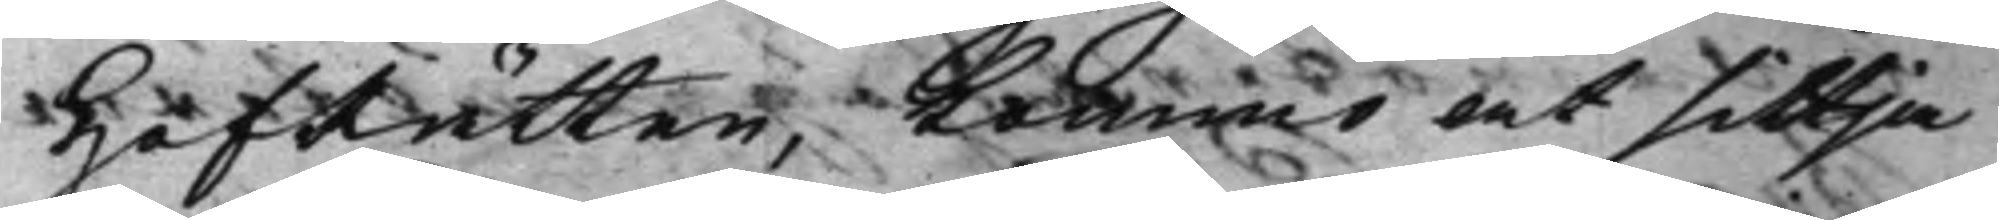HofRätten, Kommo at sittja
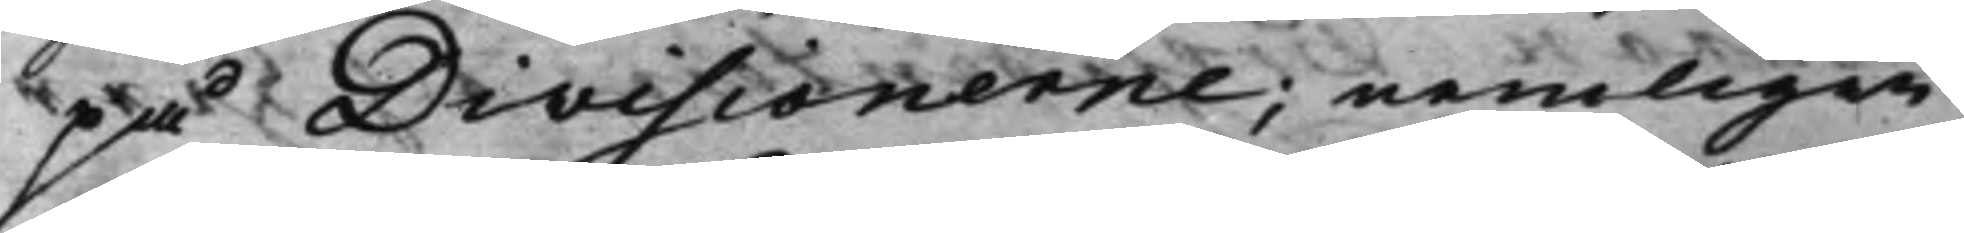på Divisionerne; nemligen
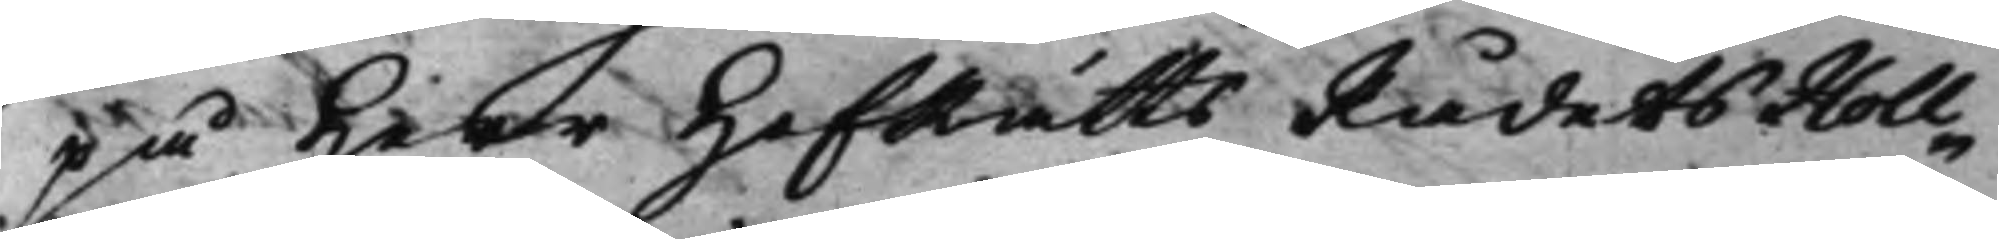på Herr HofRättsRådets Holl¬
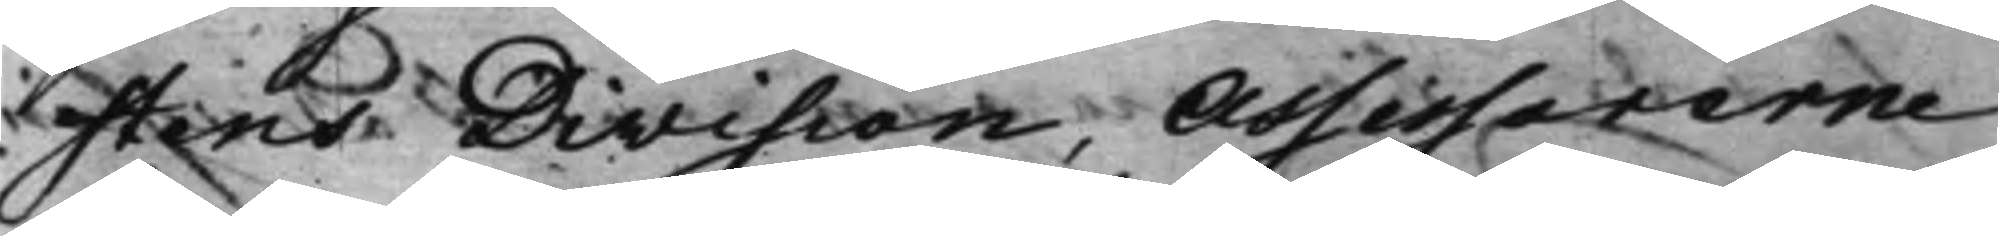stens Division, Assessorerne
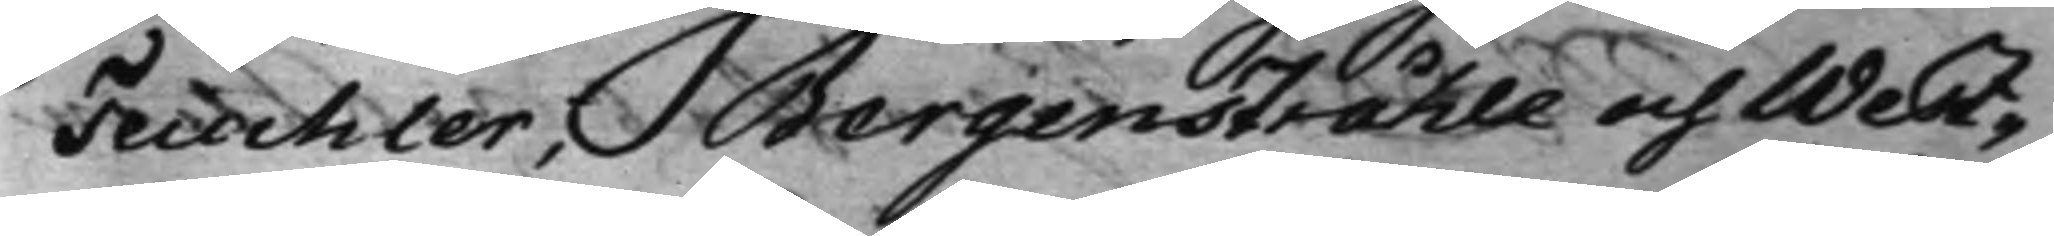Teuchler, Bergenstråhle och West¬
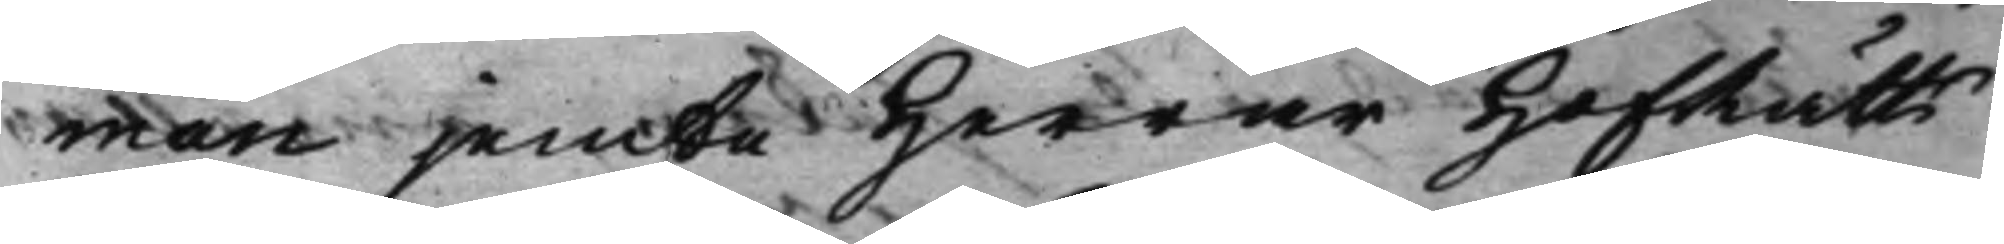man jemte Herrar HofRätts¬
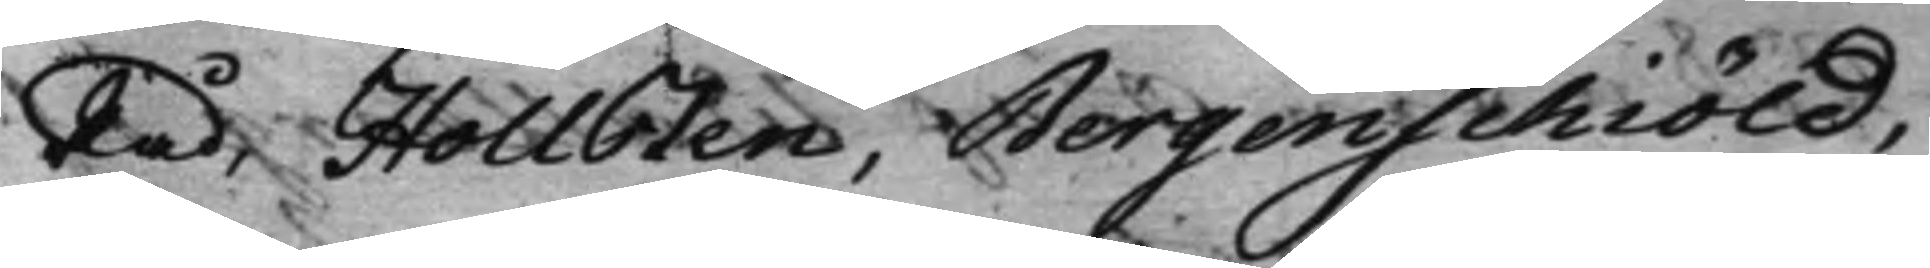Råd, Hollsten, Bergenschiöld,
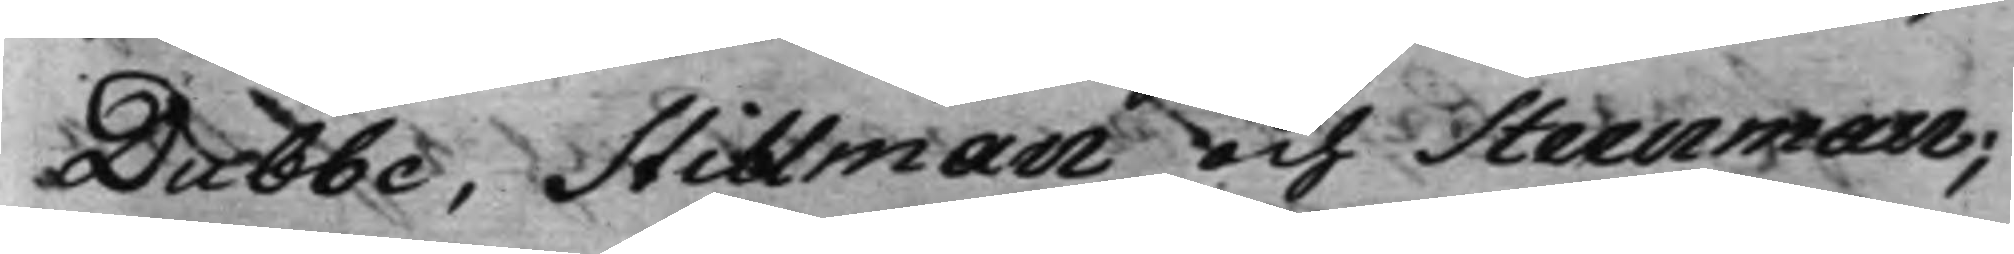Dubbe, Stillman och Steenman;
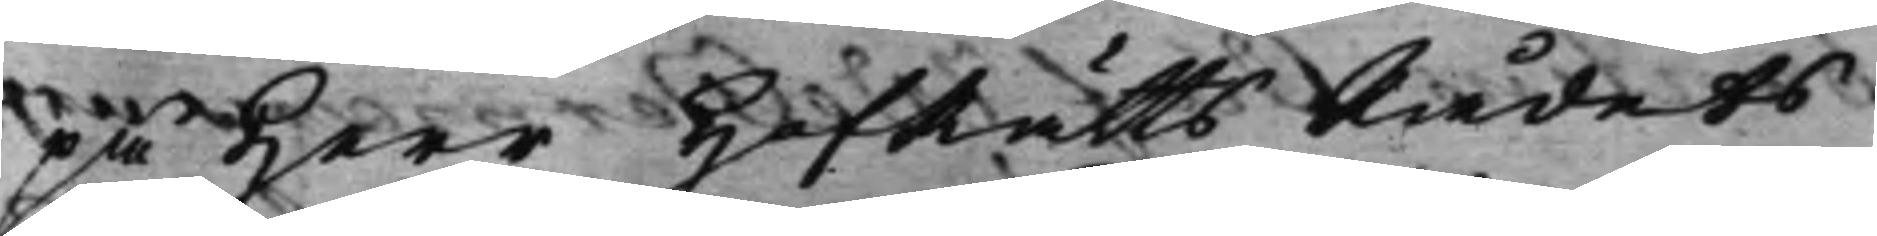på Herr HofRättsRådets
